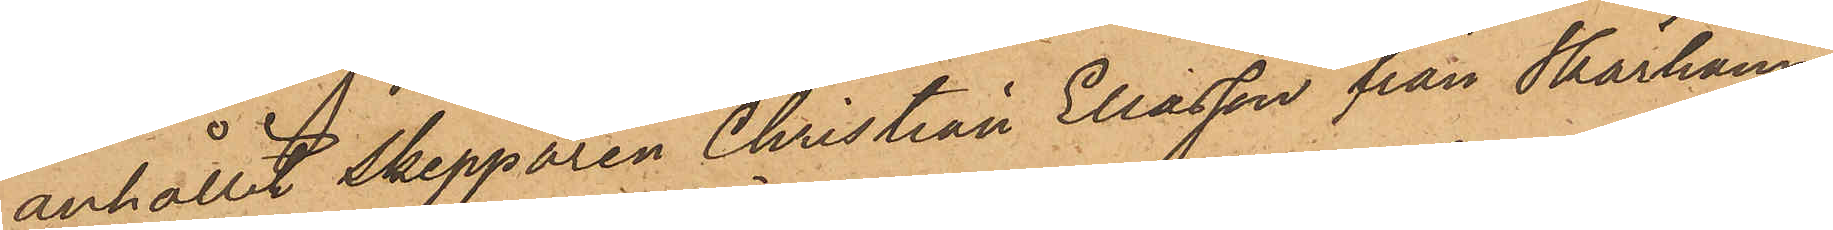anhållit skepparen Christian Eliasson från Skärhamn,
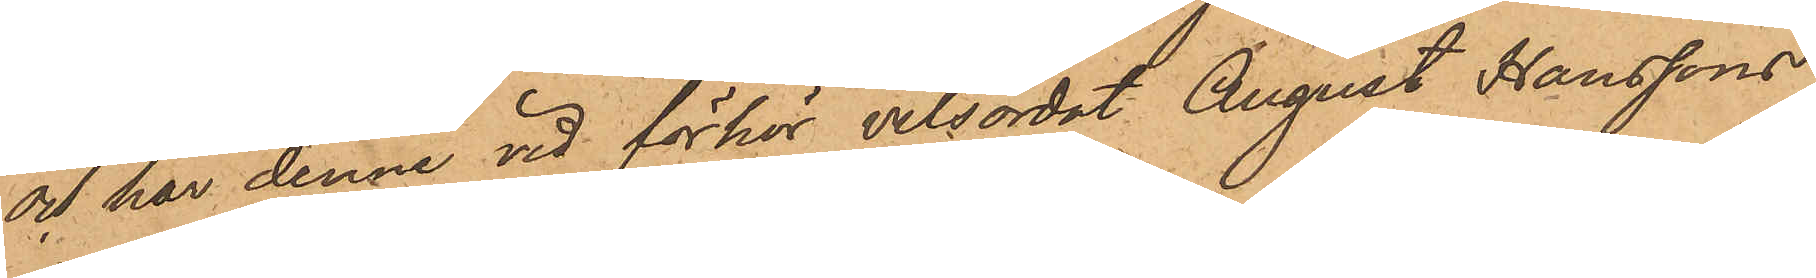och har denne vid förhör vitsordat August Hanssons
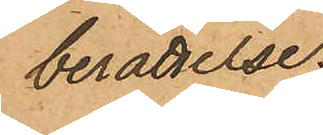berättelse.
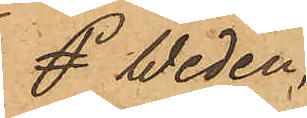Weden,
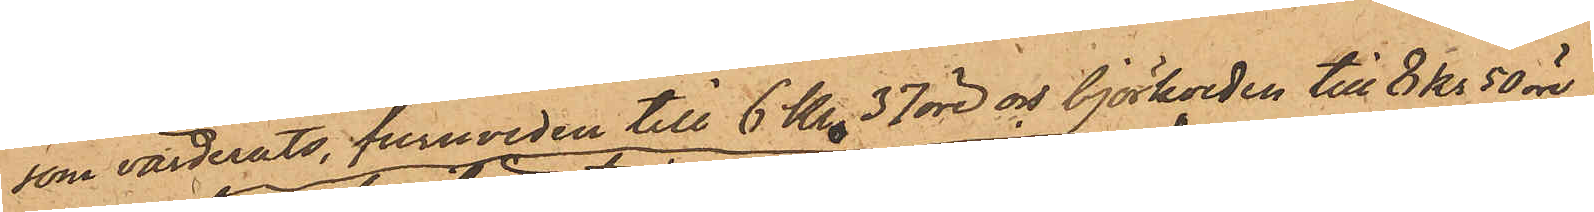som värderats, furuveden till 6 Kr. 37 öre och björkveden till 8 Kr 50 öre
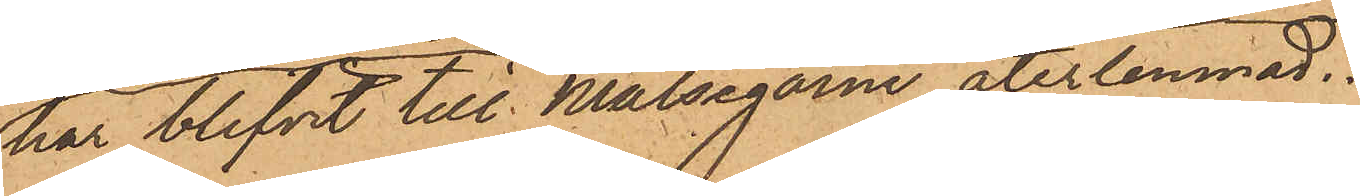har blifvit till Målsegarne återlemnad.
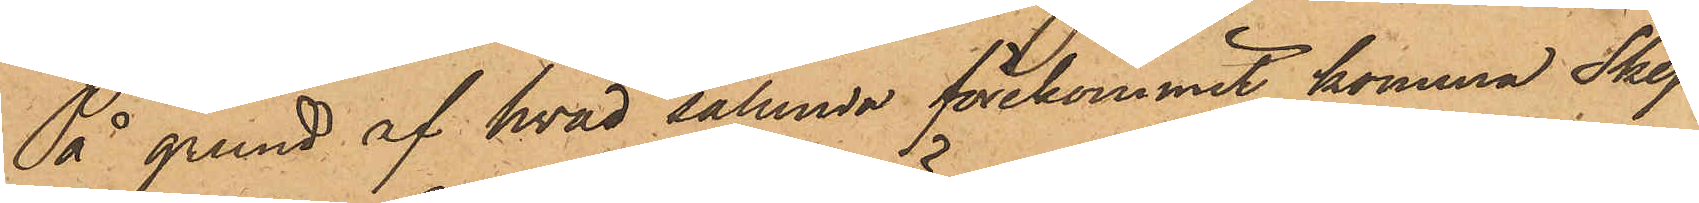På grund af hvad sålunda förekommit, komma Skep¬
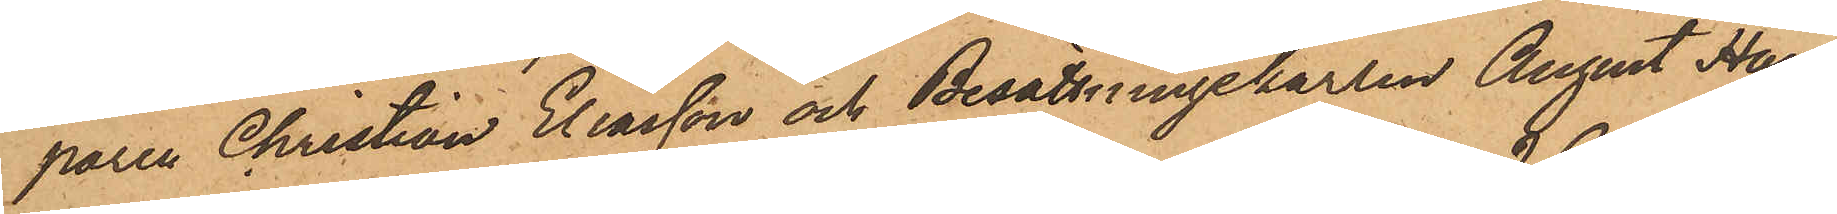paren Christian Eliasson och Besättningskarlen August Hans¬
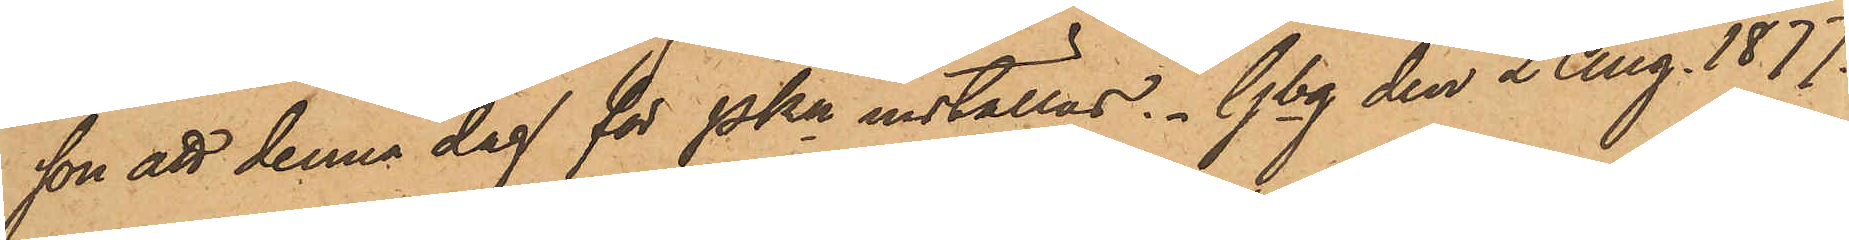son att denna dag för PKn inställas. Gbg den 2 Aug. 1877.
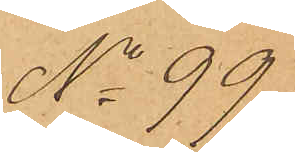No 99
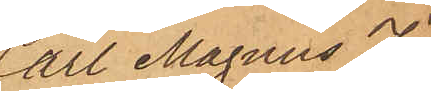Carl Magnus Jo¬
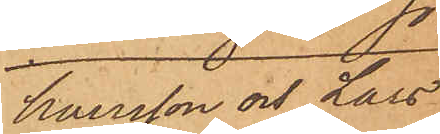hansson och Lars
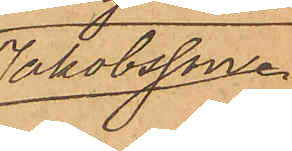Jakobsson
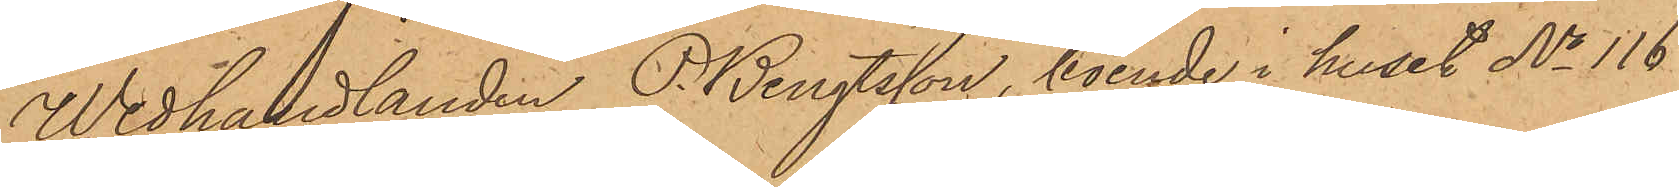Wedhandlanden P. Bengtsson, boende i huset No 116
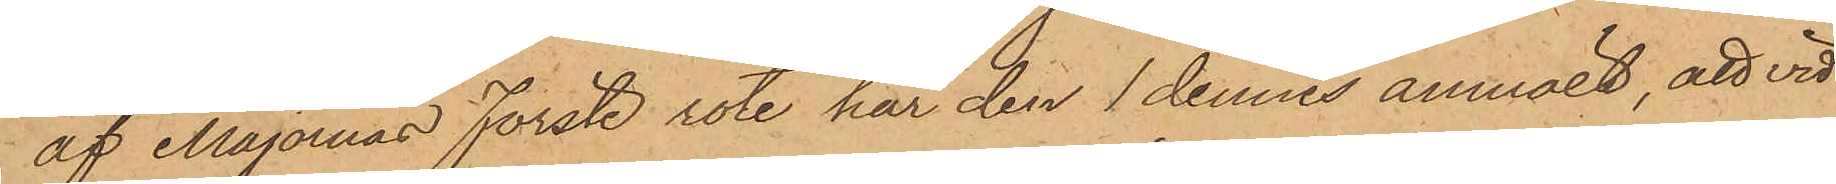af Majornas Förste rote, har den 1 dennes anmält, att vid
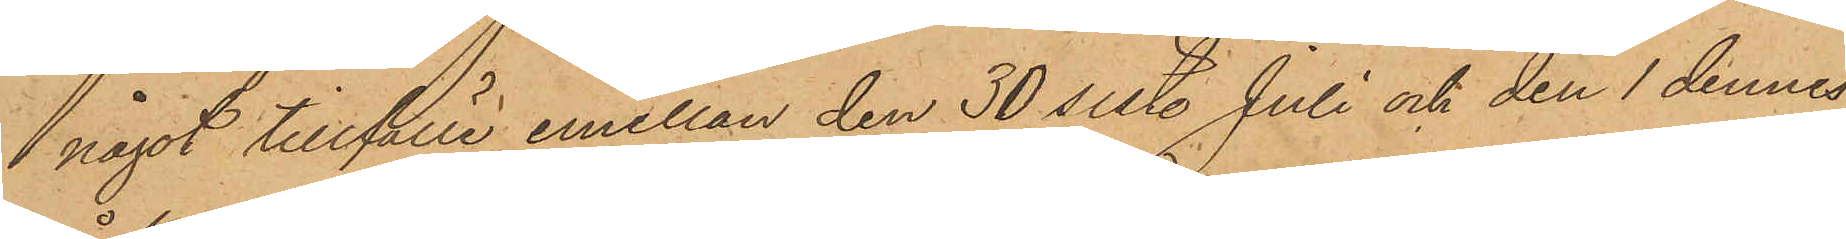 något tillfälle emellan den 30 sist. Juli och den 1 dennes
